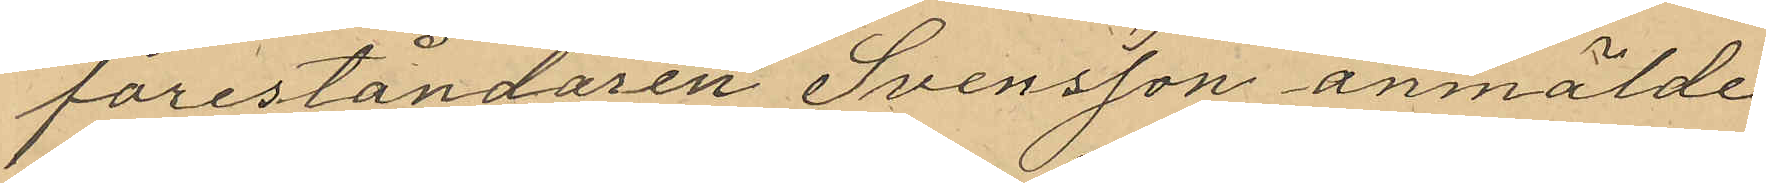foreståndaren Svensson anmälde
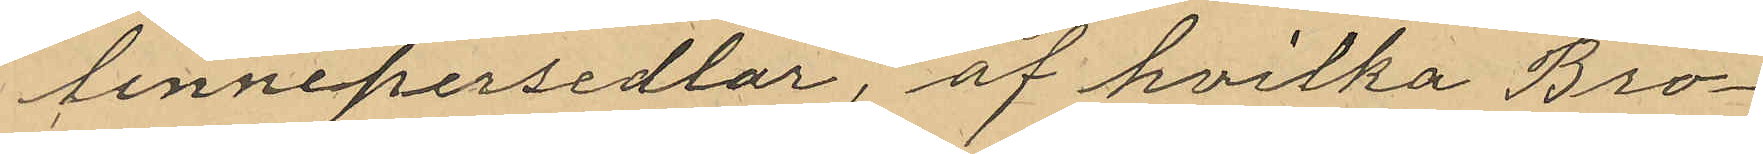linnepersedlar, af hvilka Bro¬
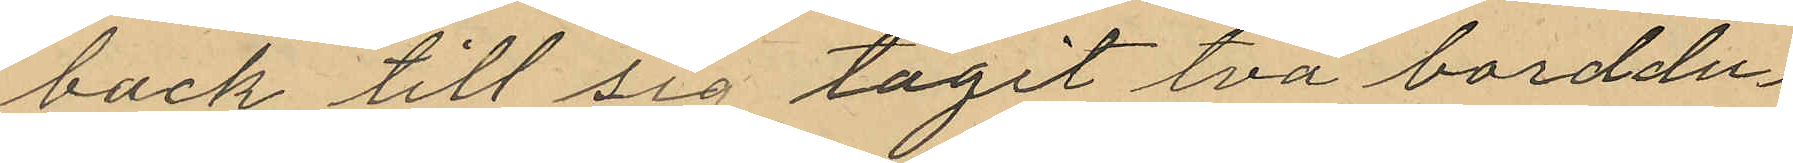back till sig tagit två borddu¬
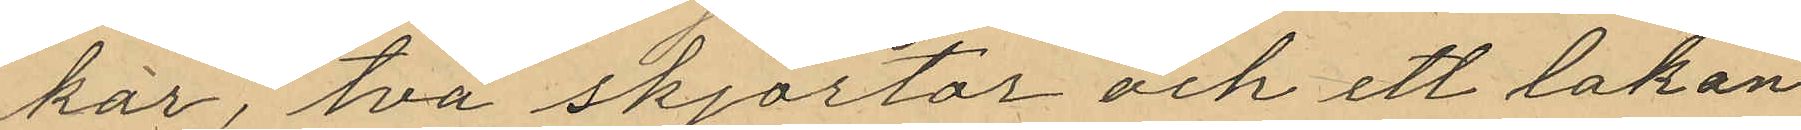kar, två skjortor och ett lakan
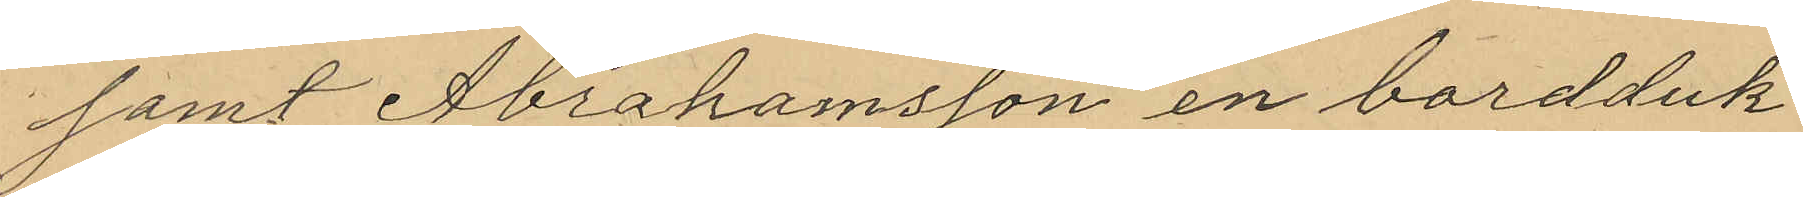samt Abrahamsson en bordduk
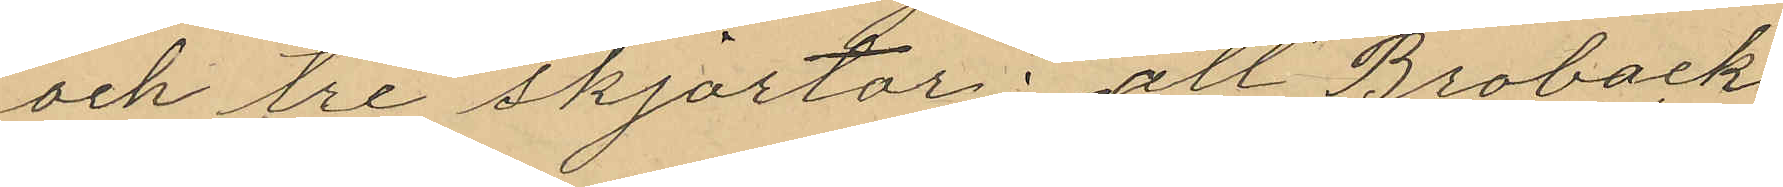och tre skjortor; att Broback
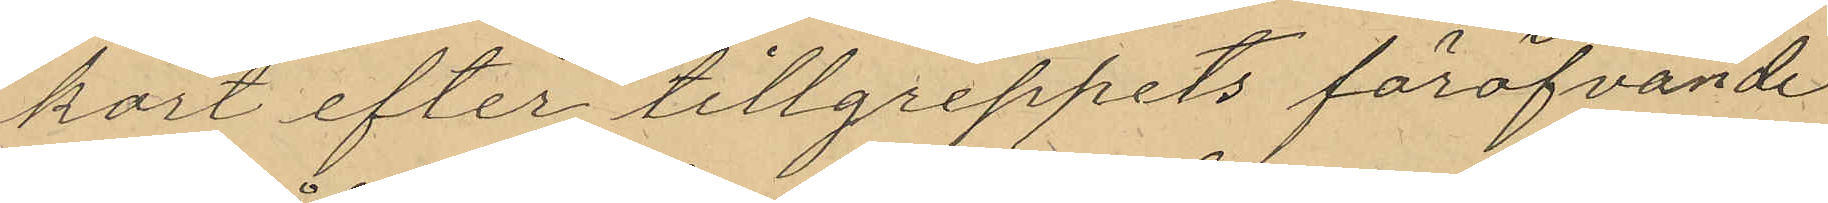kort efter tillgreppets föröfvande
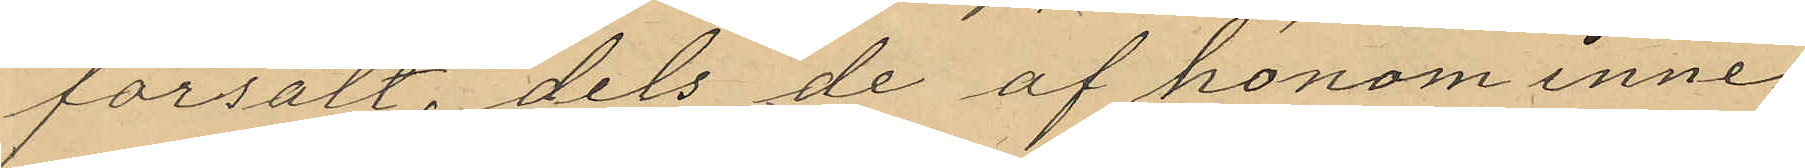försålt, dels de af honom inne¬
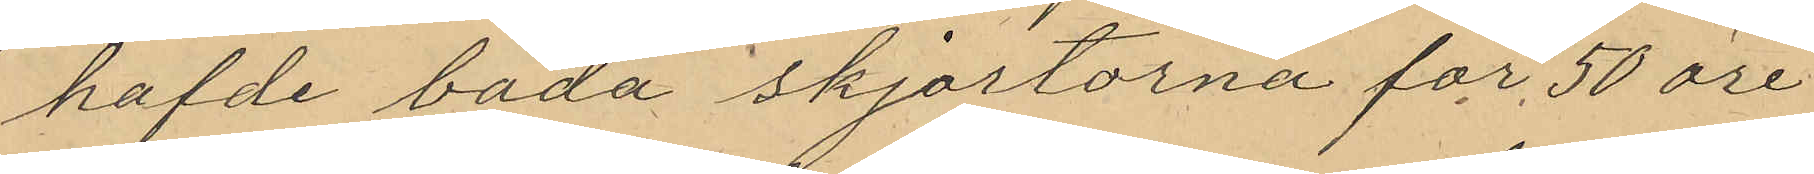hafde båda skjortorna för 50 öre
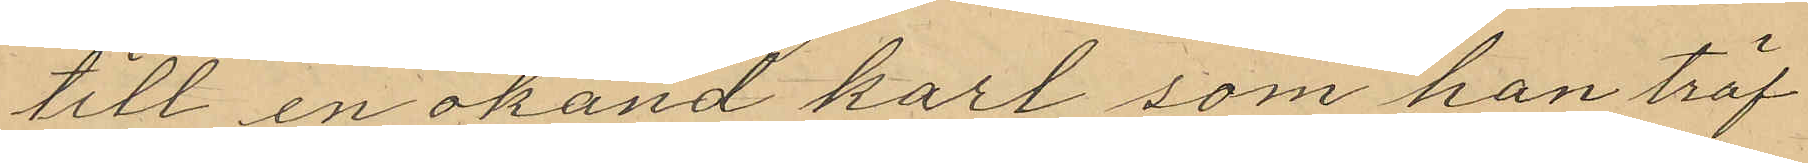till en okänd karl som han träf¬
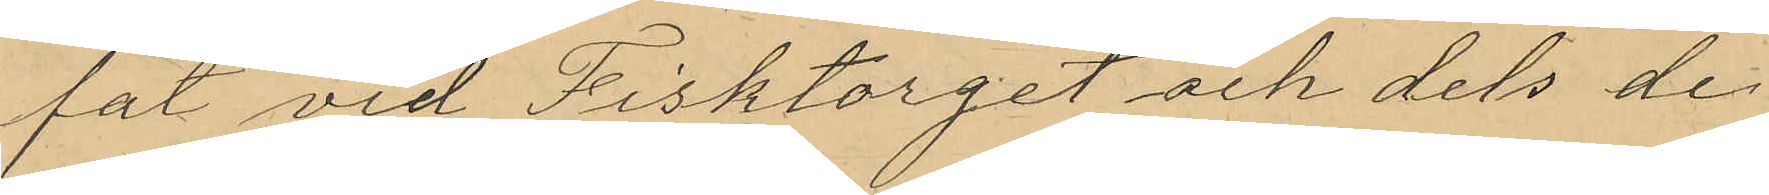fat vid Fisktorget och dels de
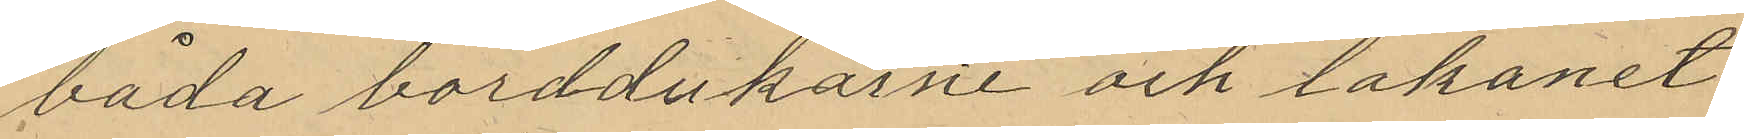båda borddukarne och lakanet
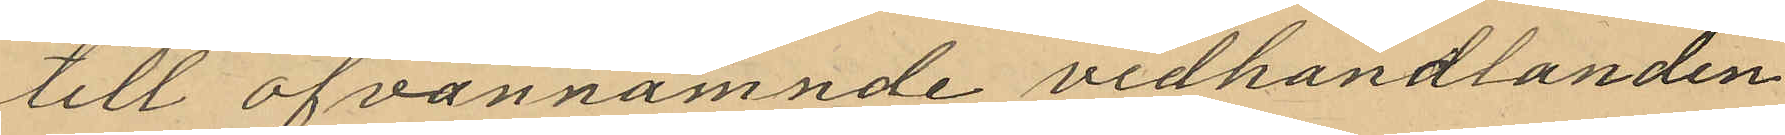till ofvannämnde vedhandlanden
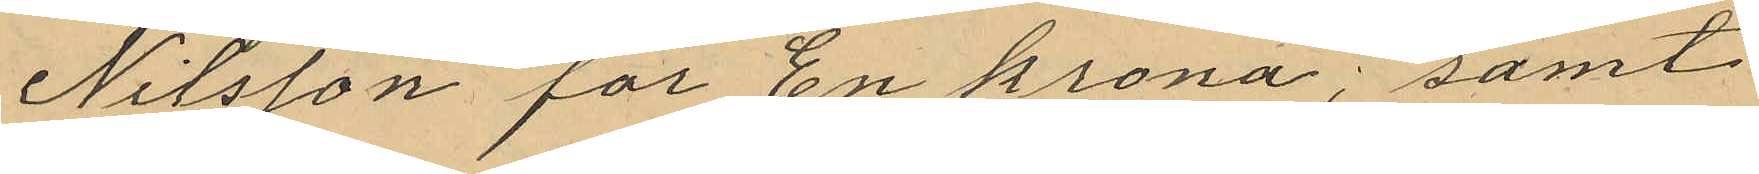Nilsson för En krona; samt
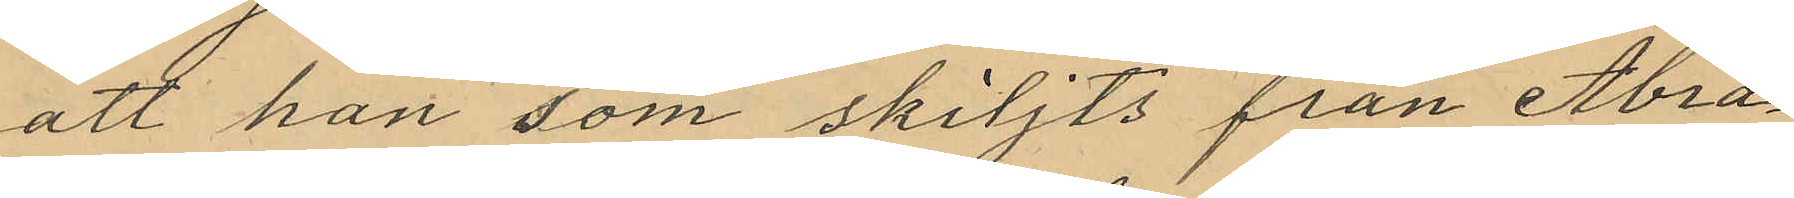att han som skiljts från Abra¬
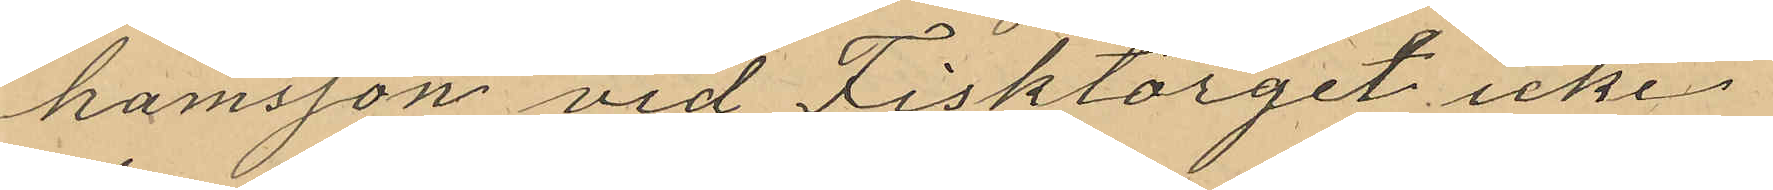hamsson vid Fisktorget icke
